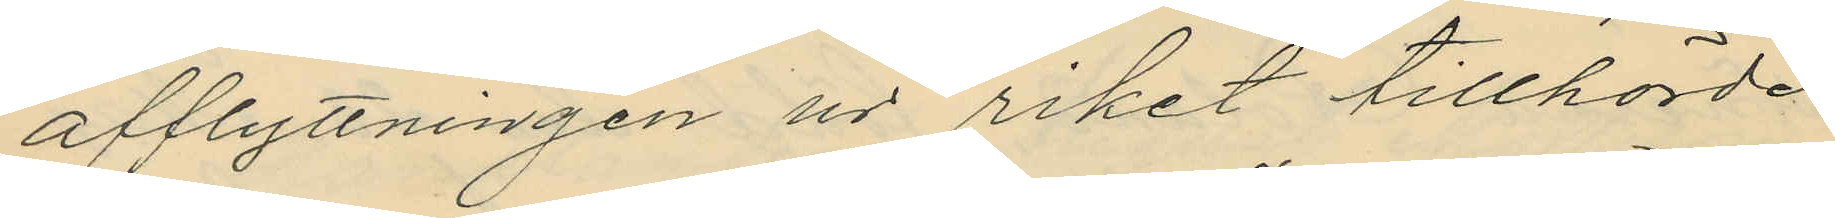afflyttningen ur riket tillhörde
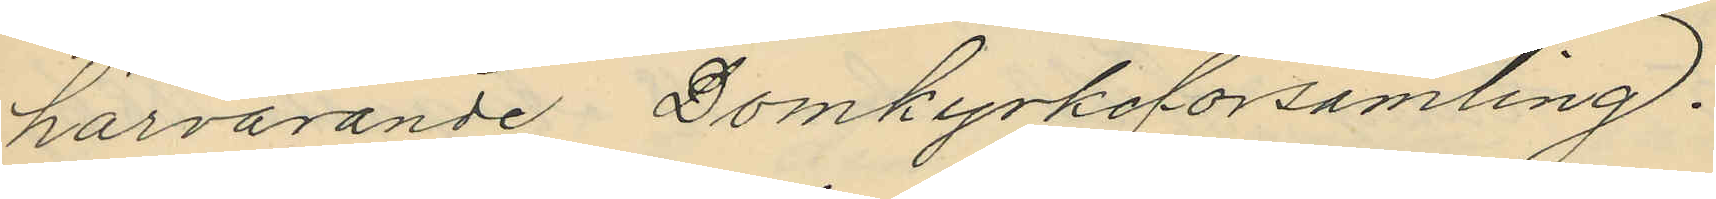härvarande Domkyrkoförsamling.
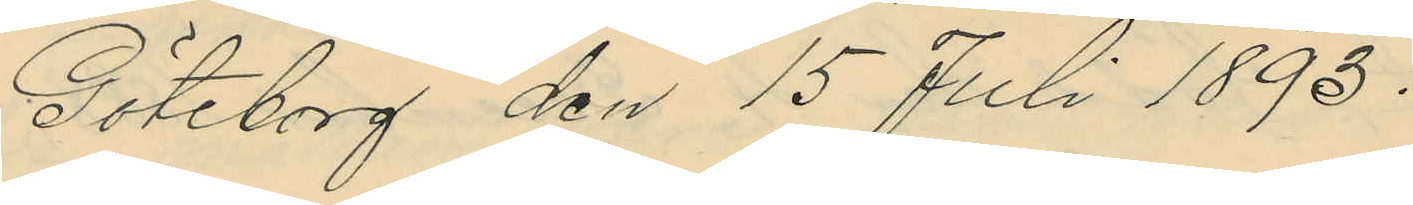Göteborg den 15 Juli 1893.
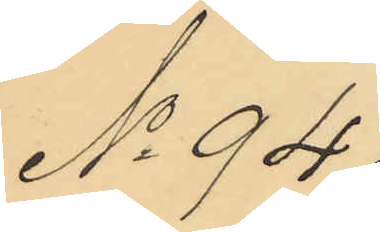No 94.
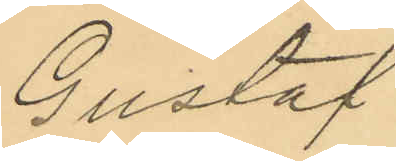Gustaf
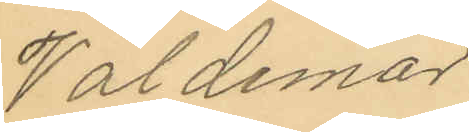Valdemar
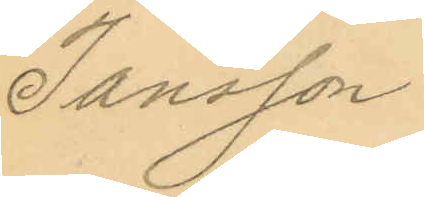Jansson.
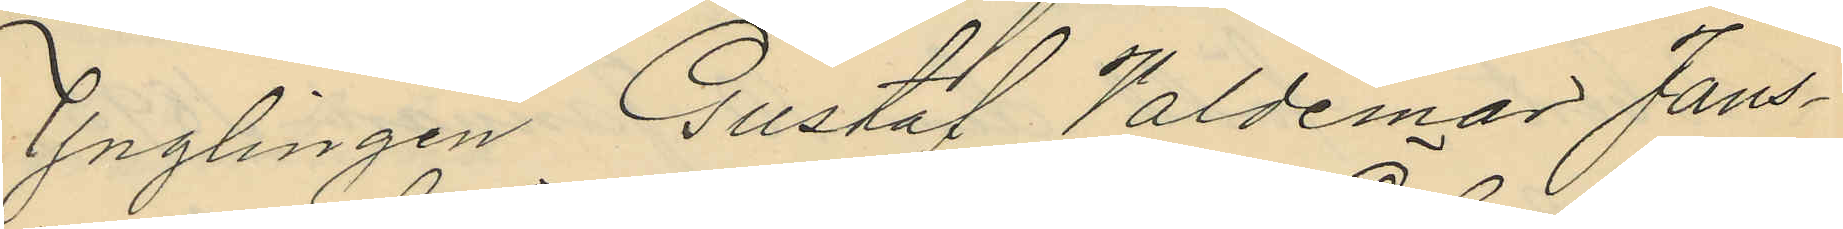Ynglingen Gustaf Valdemar Jans¬
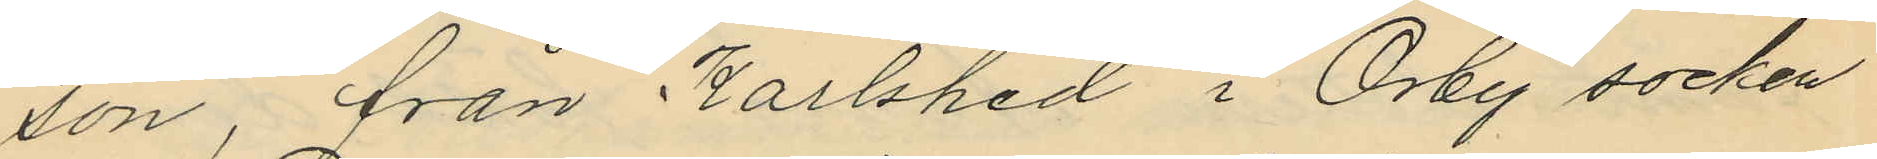son, från Karlshed i Örby socken
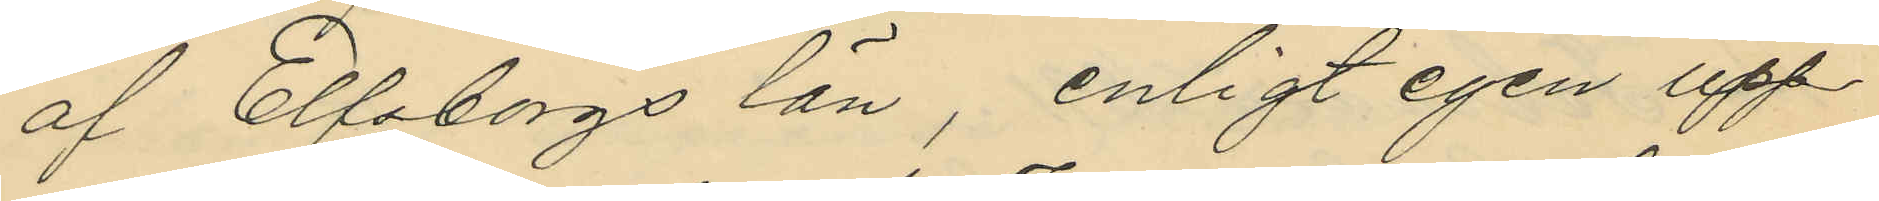af Elfsborgs län, enligt egen upp¬
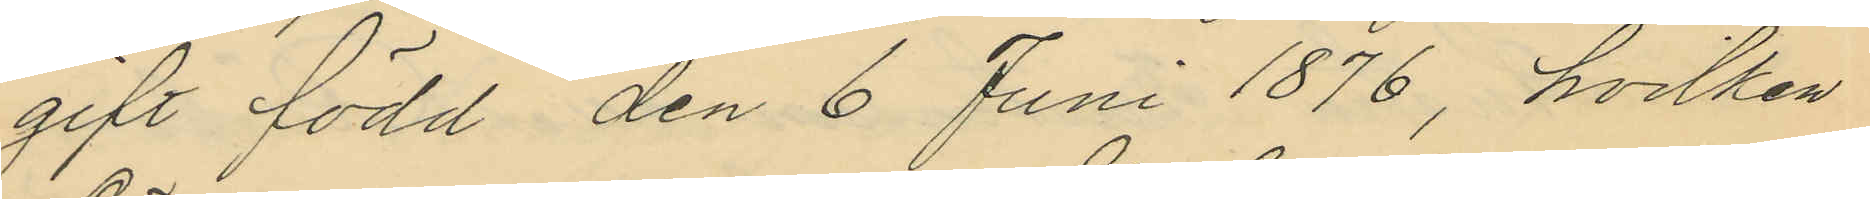gift född den 6 Juni 1876, hvilken
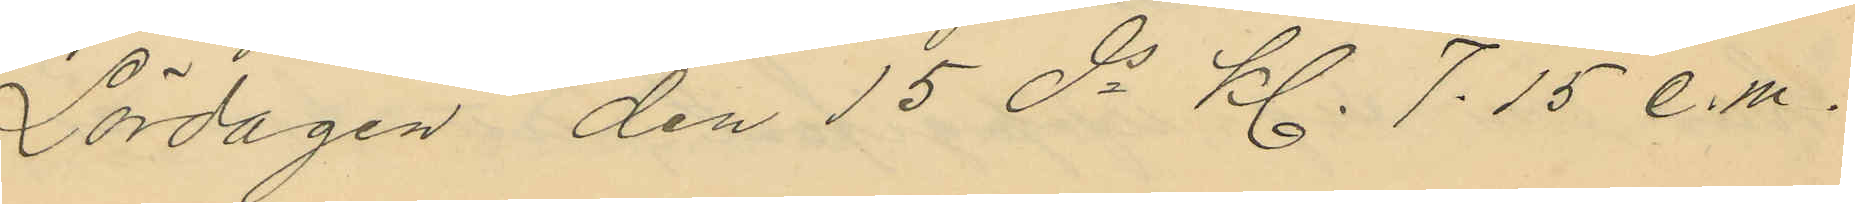Lördagen den 15 ds kl. 7.15 e.m.
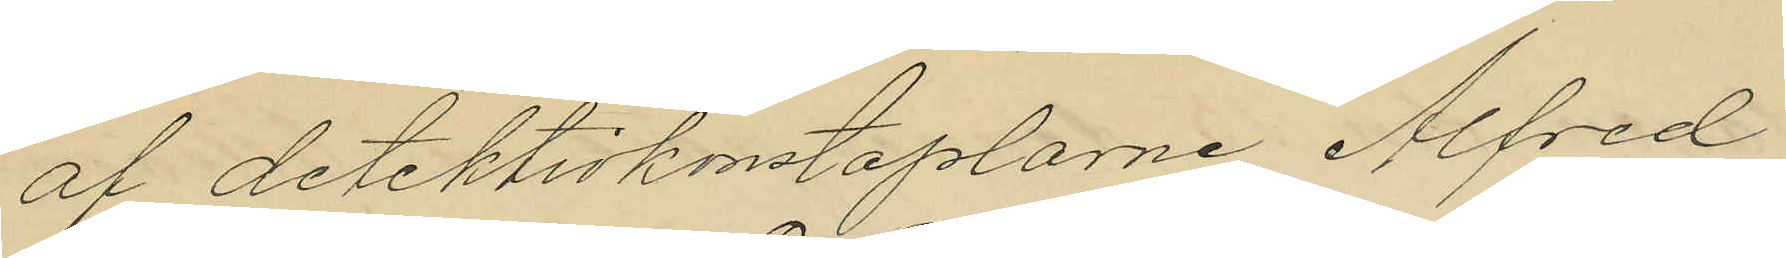af detektivkonstaplarne Alfred
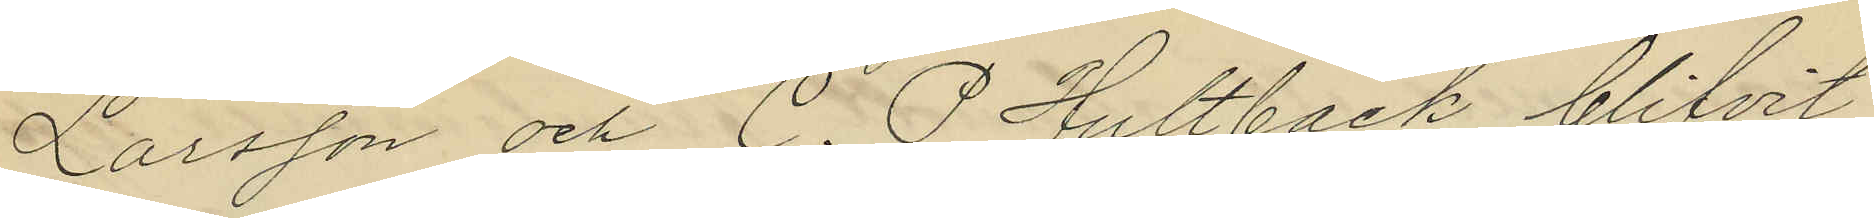Larsson och C. P. Hultbäck blifvit
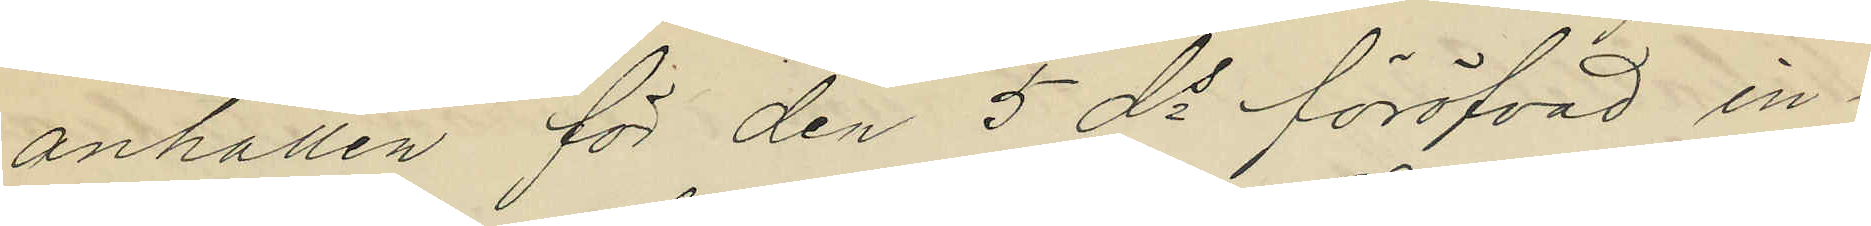anhållen för den 5 ds föröfvad in¬
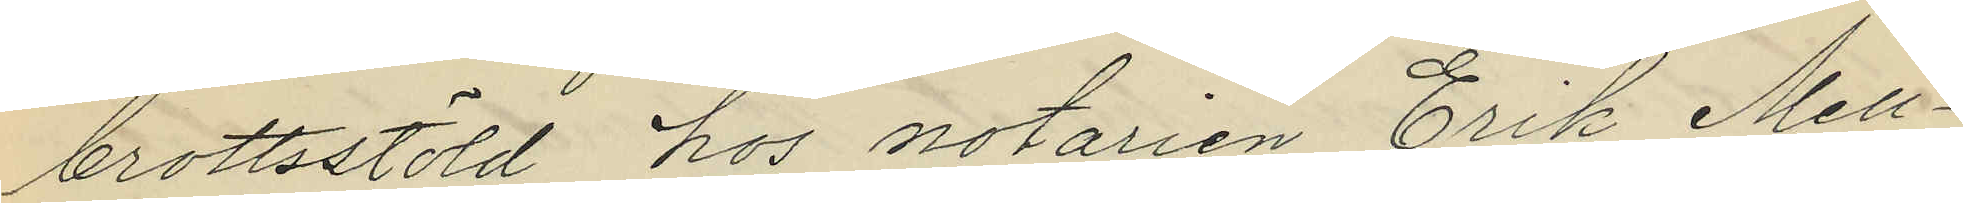brottsstöld hos notarien Erik Mell¬
